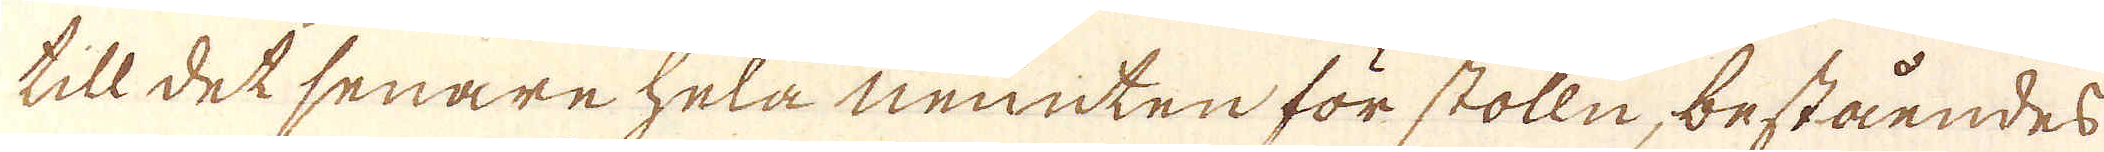till det senare hela neunten för stolln, beståendes
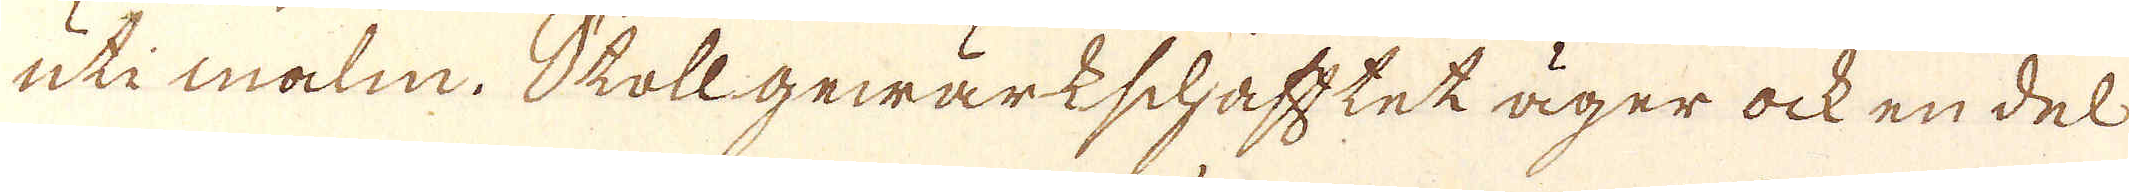uti malm. Skollgewärkschafftet äger ock en del
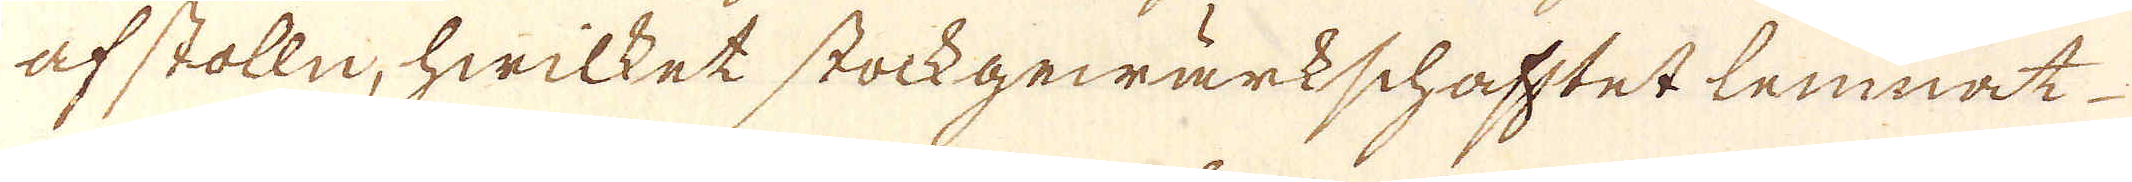af stolln, hwilket stockgewärkschafftet lemnat
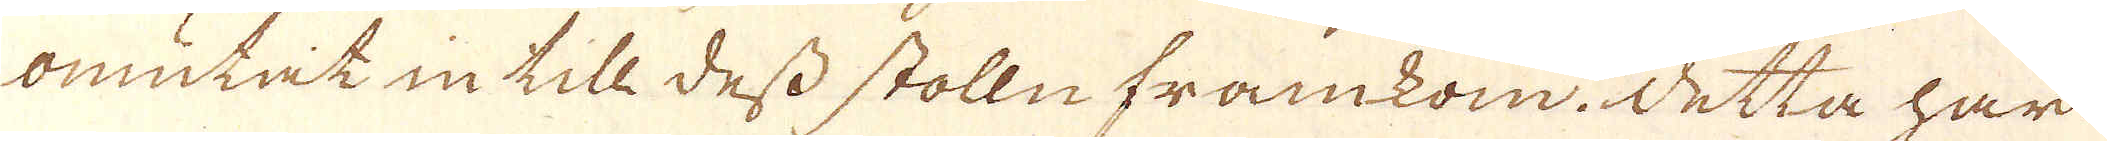omutat in till dess stolln framkom. Detta har
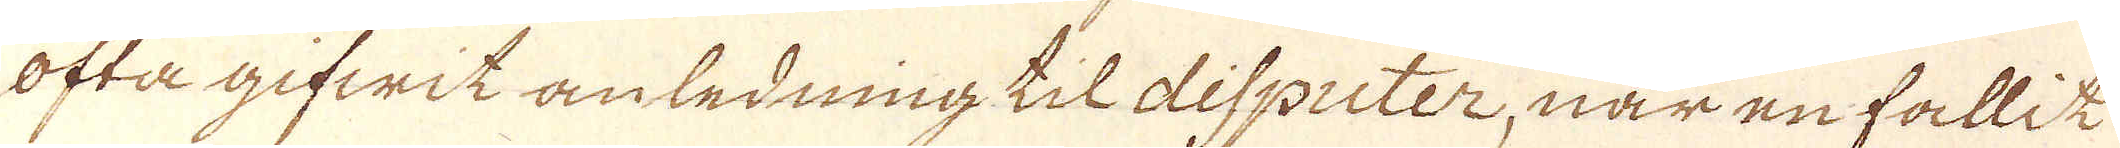ofta gifwit anledning til dispicter, när en fallit
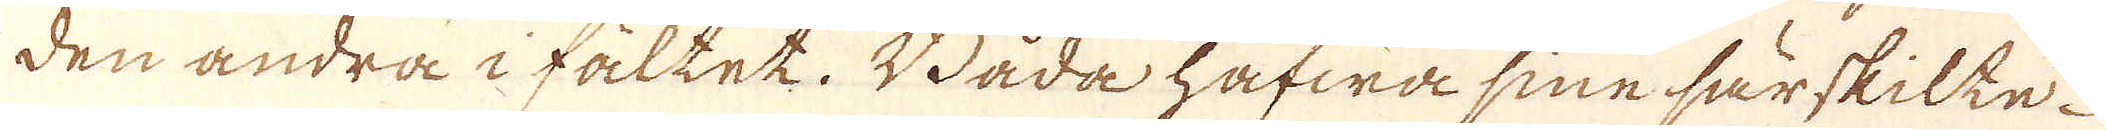den andra i fältet. Båda hafwa sine särskilte-
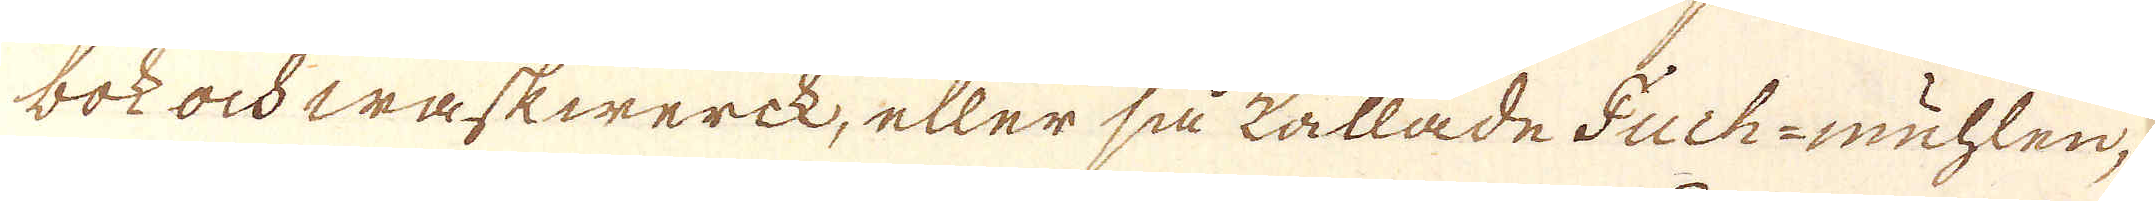bok och waskwerck, eller så kallade Fuch-muhlen,
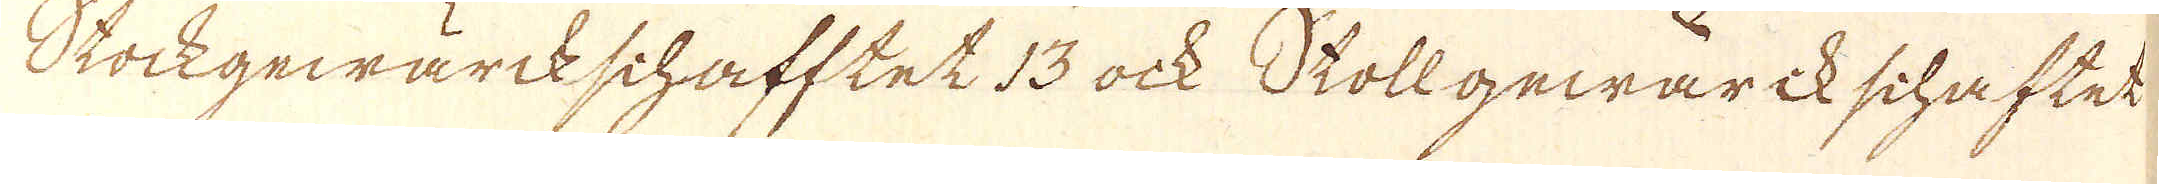Stockgewärckschafftet 13 ock Stollgewärikschaftet
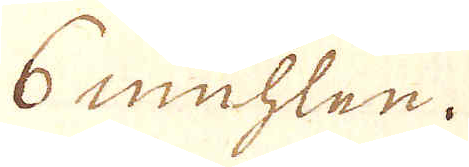6 muhlen.
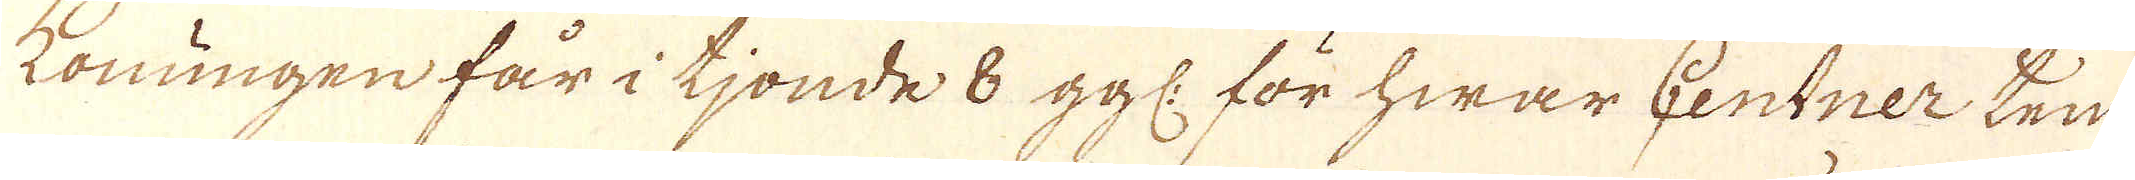Konungen får i tjonde 8 ggl: för hwar Centner tenn
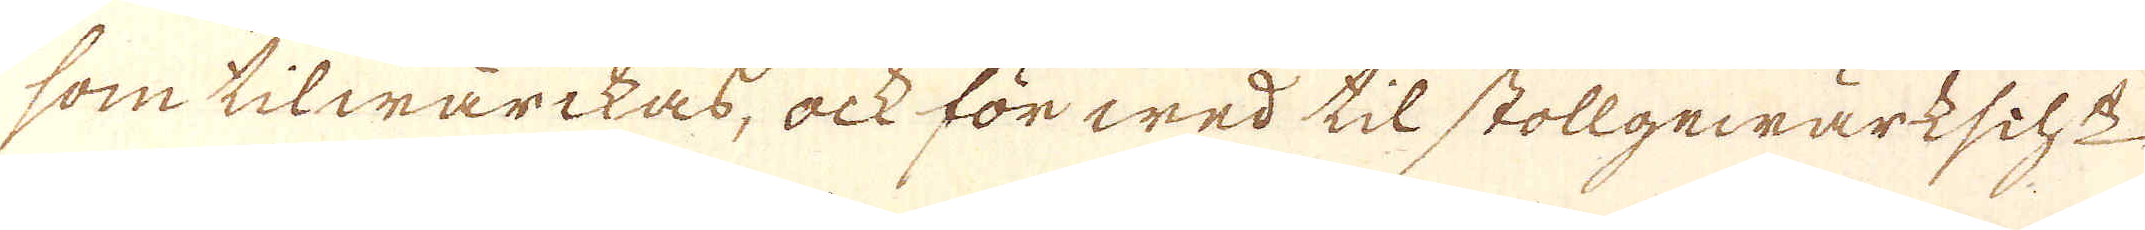som tilwärckas, ock för wed til stollgewärkscht
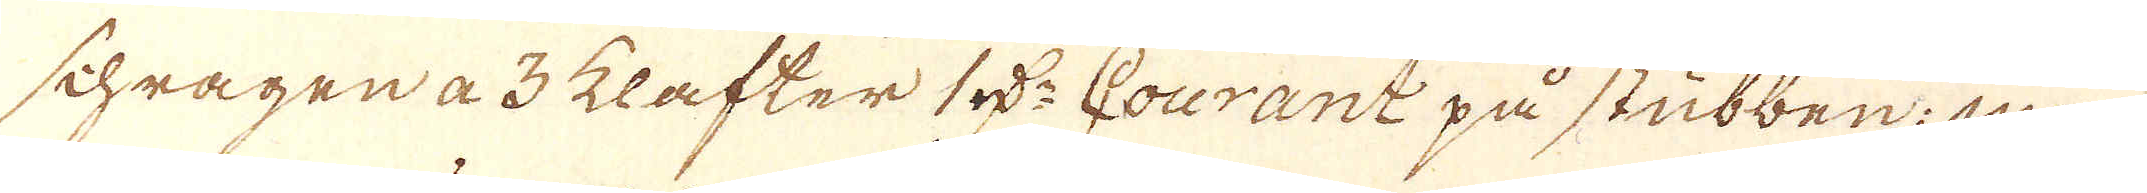schragen a 3 klafter 1 rd:r Courant på stubben; men
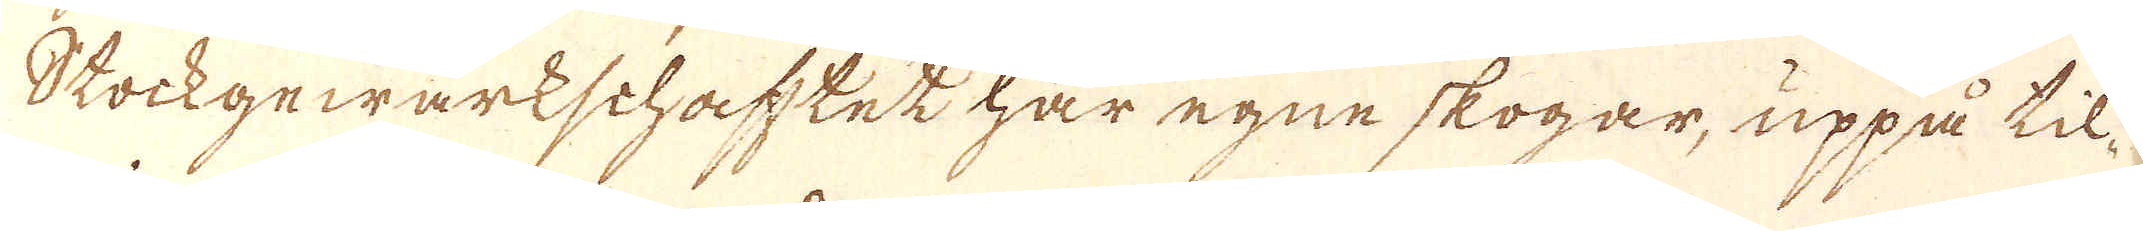Stockgewärkschahtet har egne skogar, uppå til-
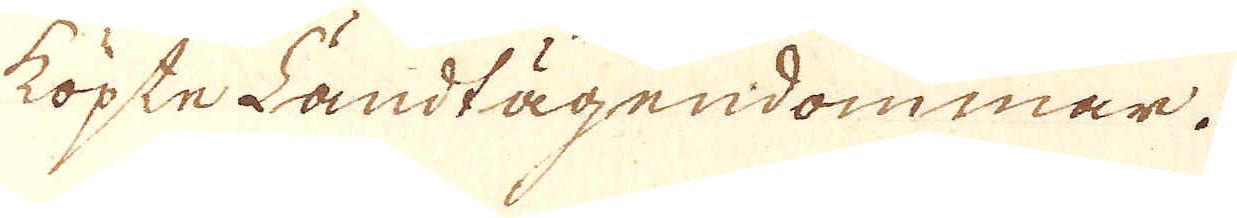köpte Landlägendommar.
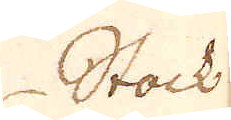Stock
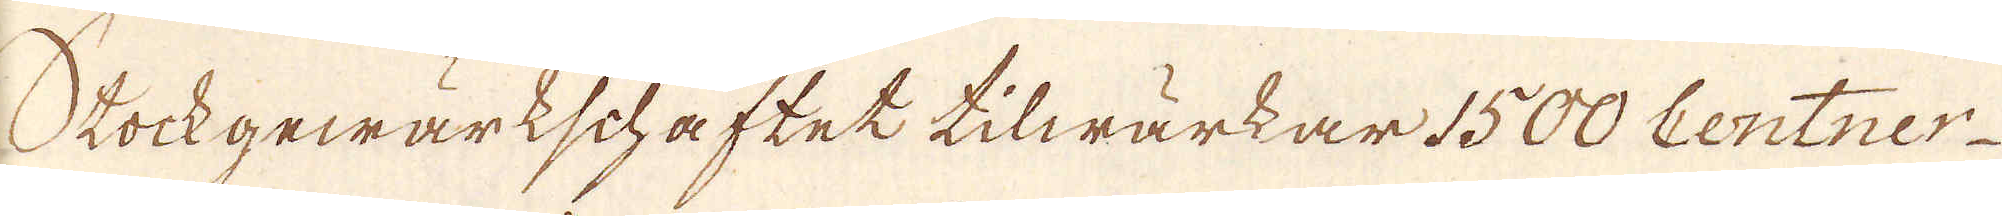Stockgewärkschaftet tilwärkar 1500 Centner
